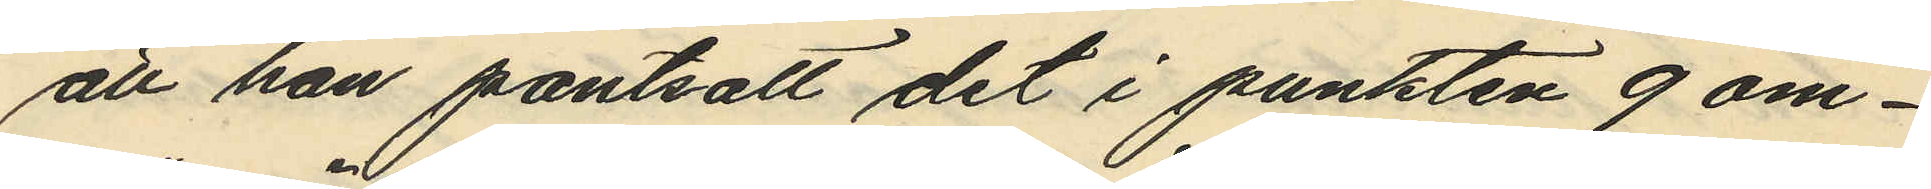att han pantsatt det i punkten 9 om¬
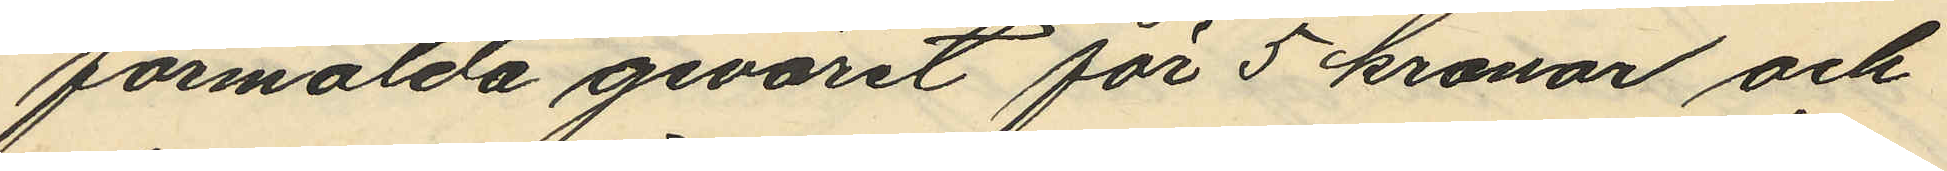förmälda geväret för 5 kronor och
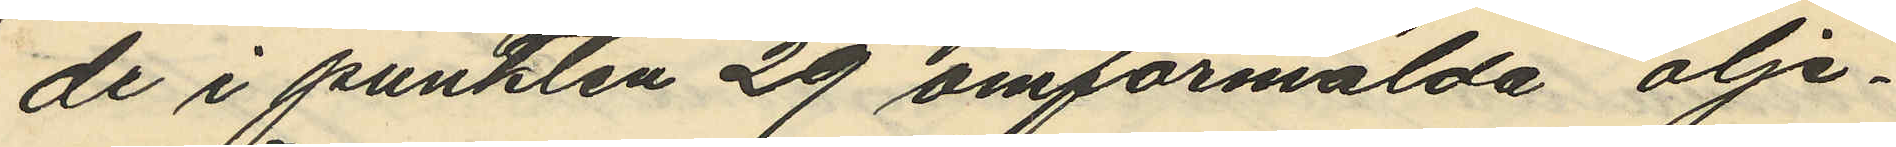de i punkten 29 omförmälda olje¬
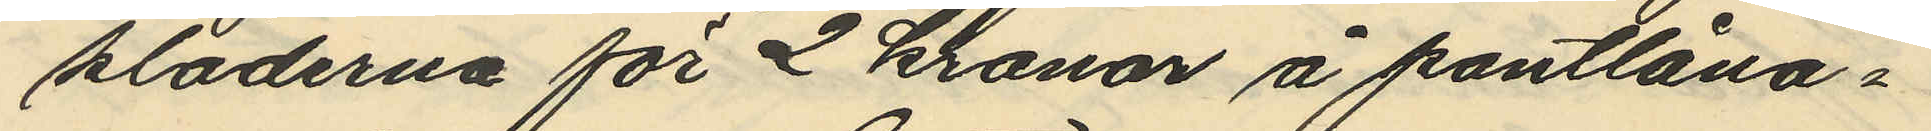kläderna för 2 kronor å pantlåna¬
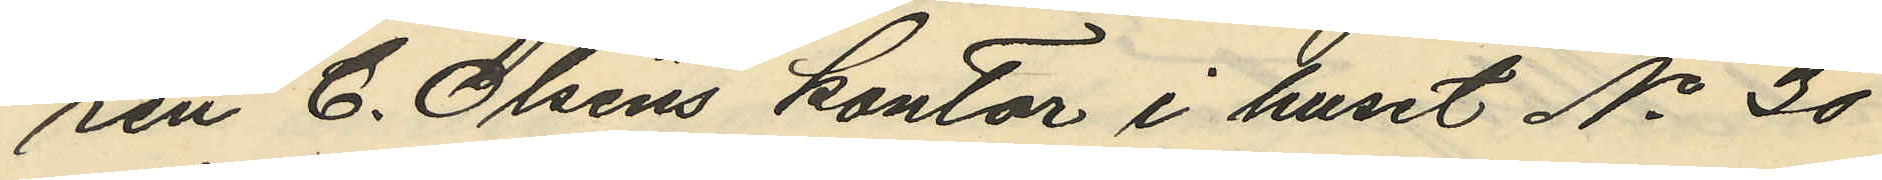ren C. Olséns kontor i huset No 30
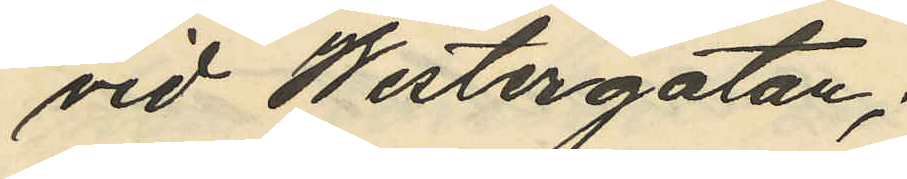vid Westergatan;
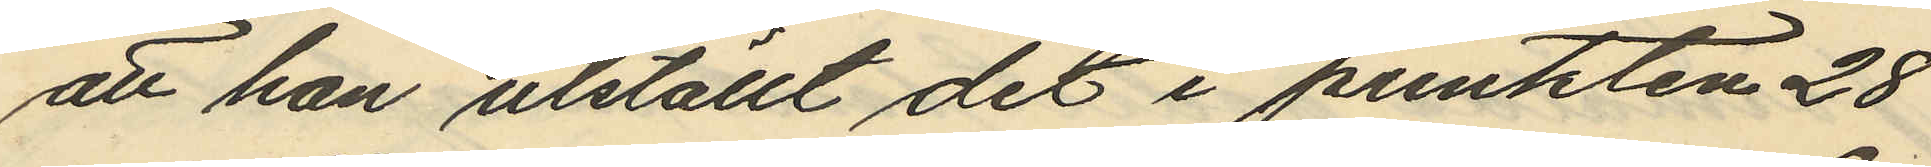att han utställt det i punkten 28
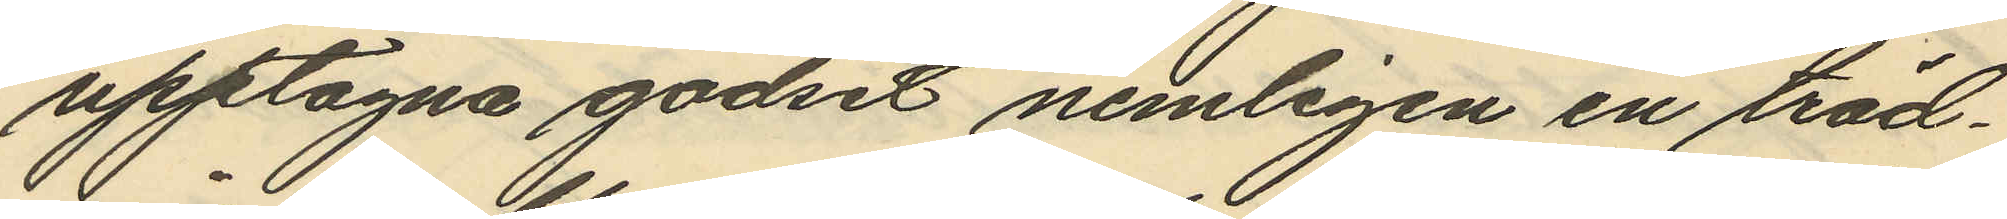upptagna godset nemligen en träd¬
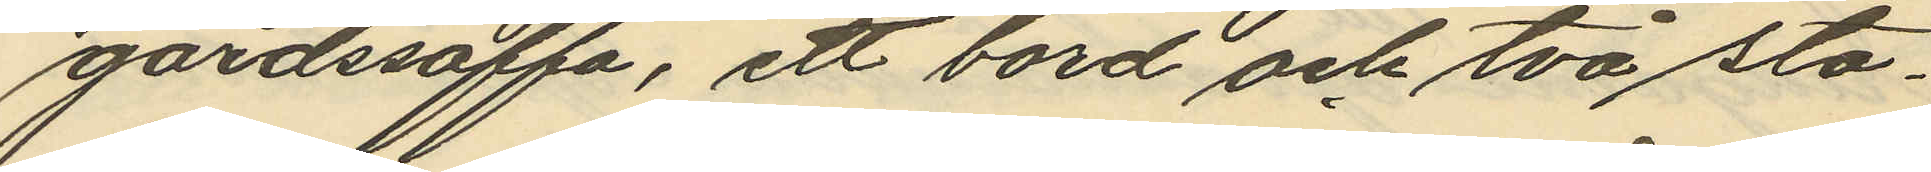gårdssoffa, ett bord och två sto¬
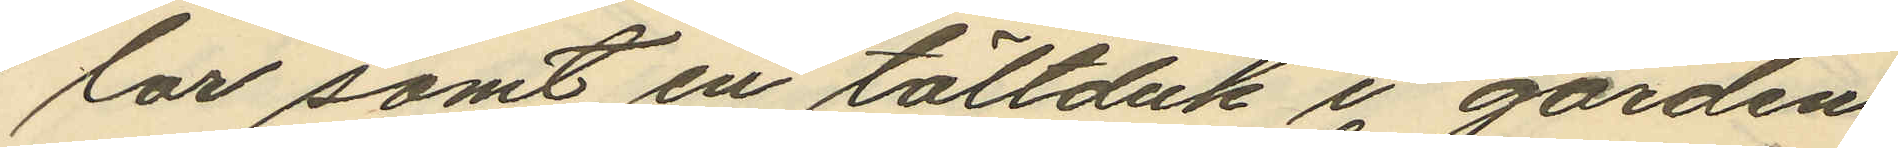lar samt en tältduk i gården
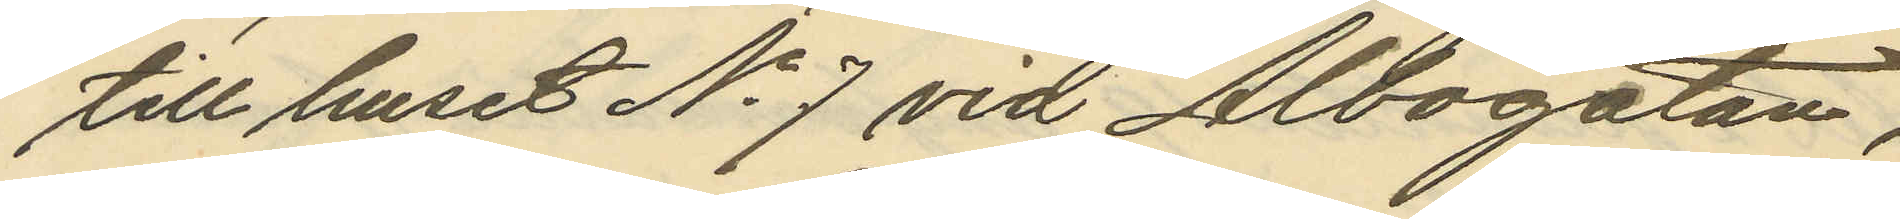till huset No 7 vid Albogatan,
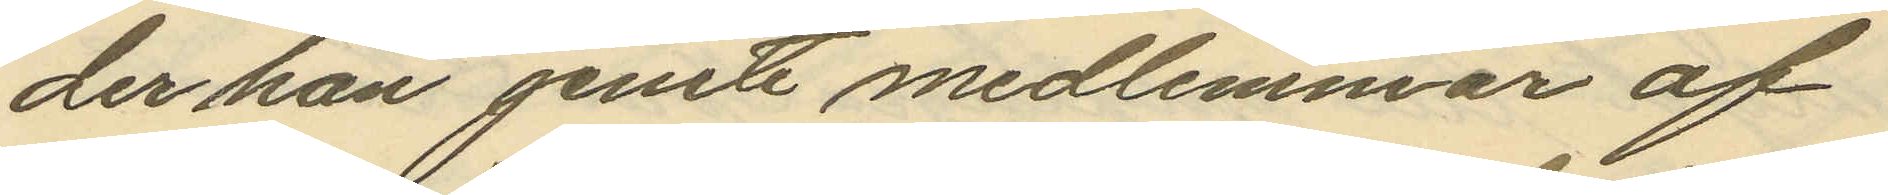der han jemte medlemmar af
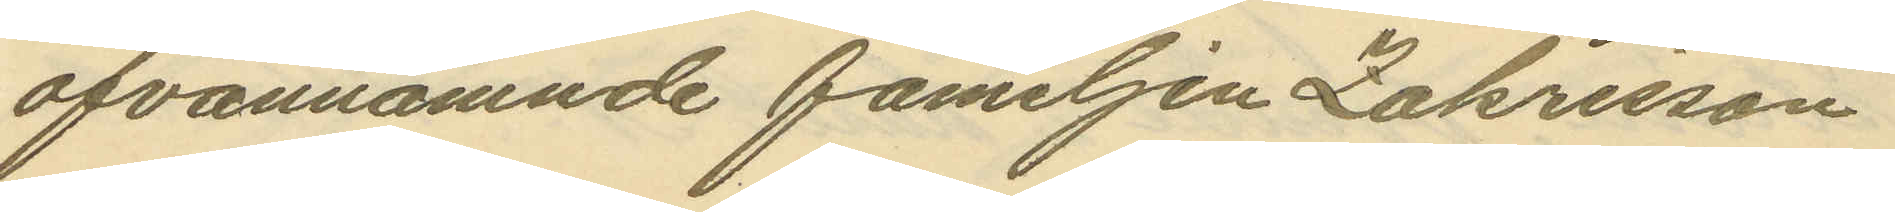ofvannämnde familjen Zakrisson
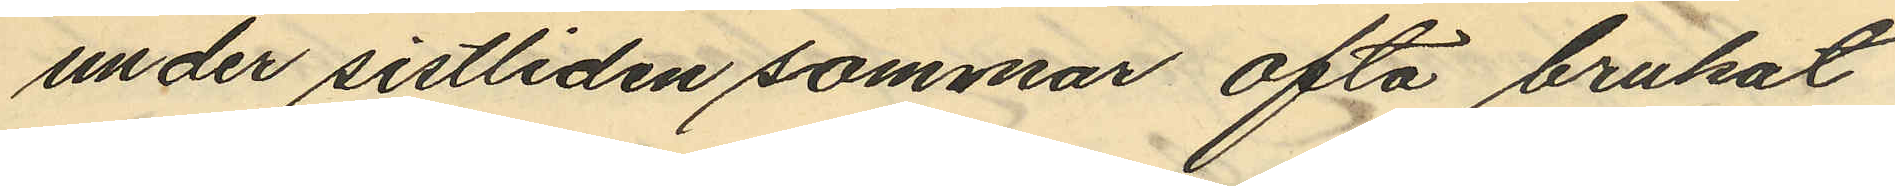under sistliden sommar ofta brukat
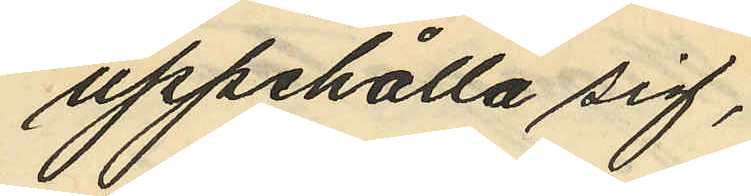uppehålla sig,
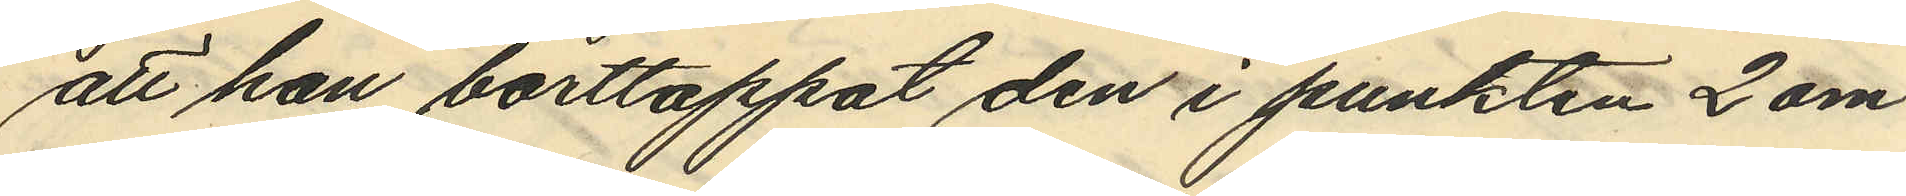att han borttappat den i punkten 2 om
